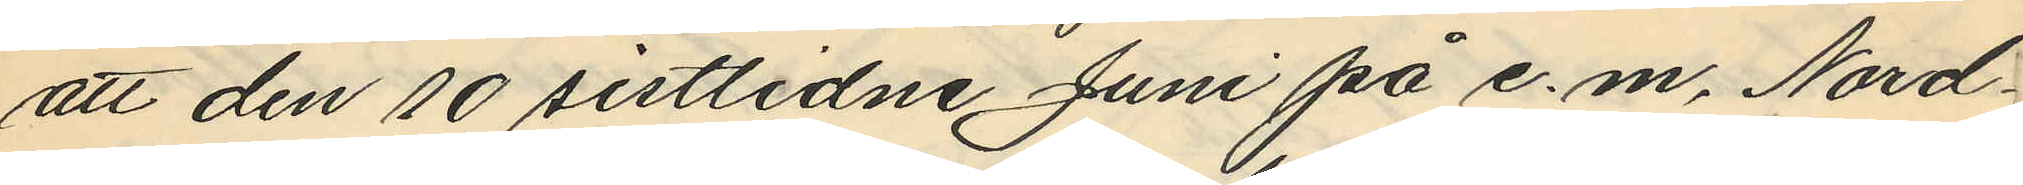att den 10 sistlidne Juni på e. m. Nord¬
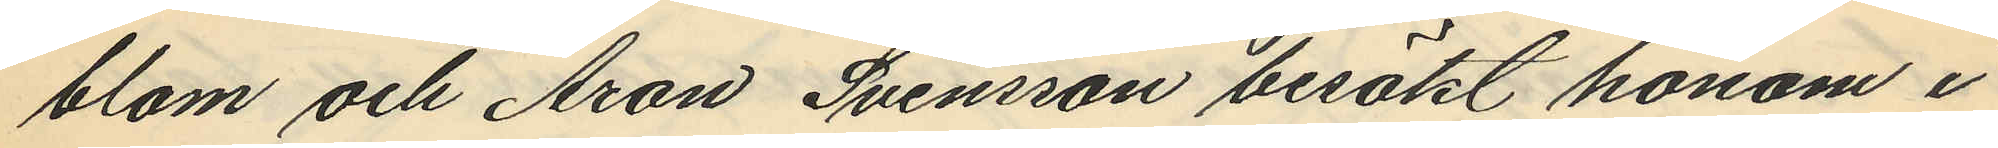blom och Aron Svensson besökt honom i
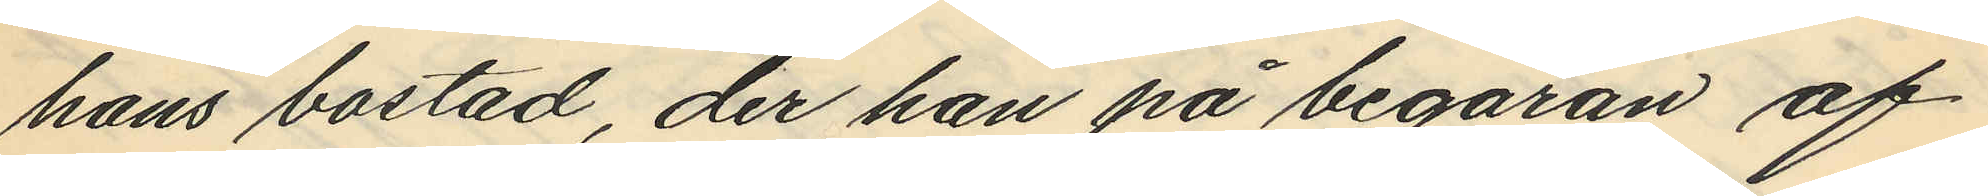hans bostad, der han på begäran af
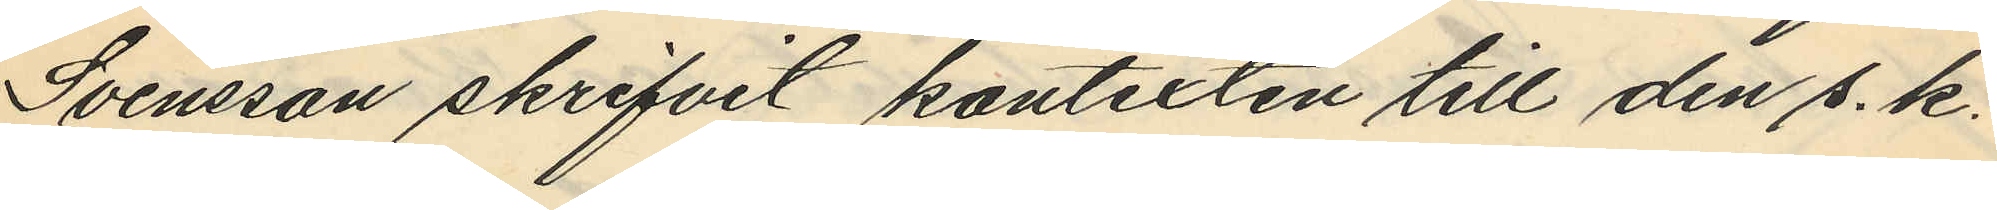Svensson skrifvit kontexten till den s. k.
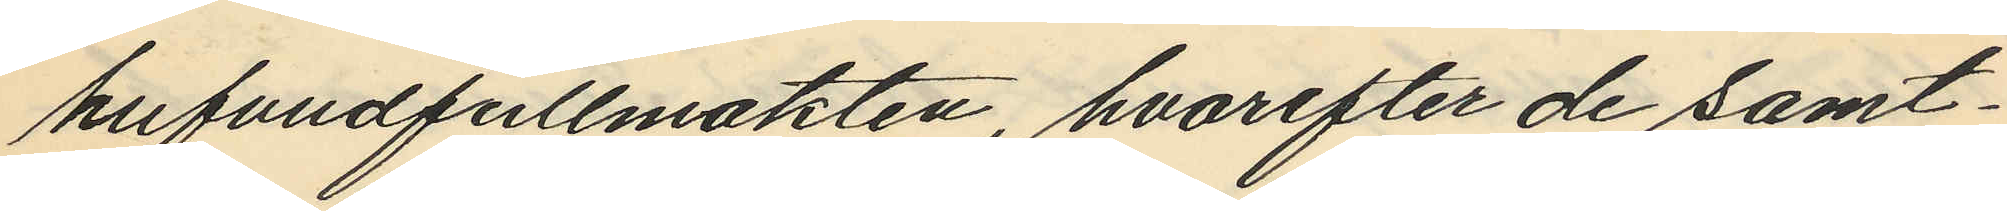hufvudfullmakten, hvarefter de samt¬
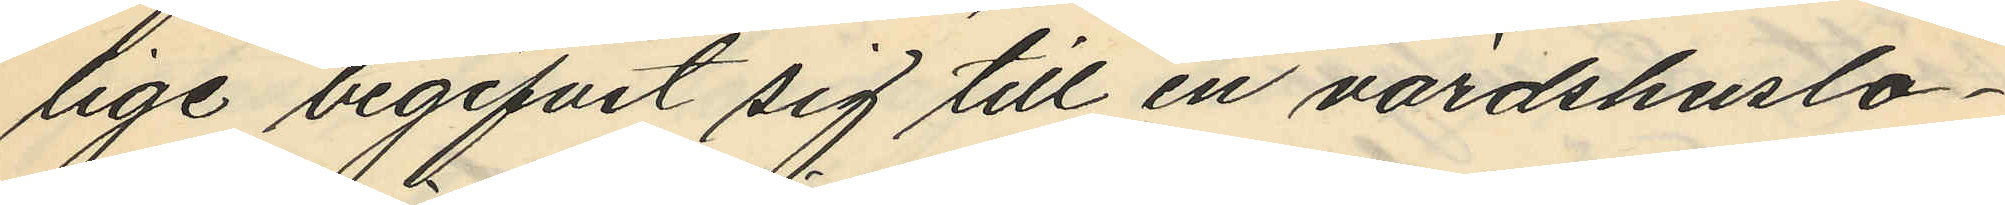lige begifvit sig till en värdshuslo¬
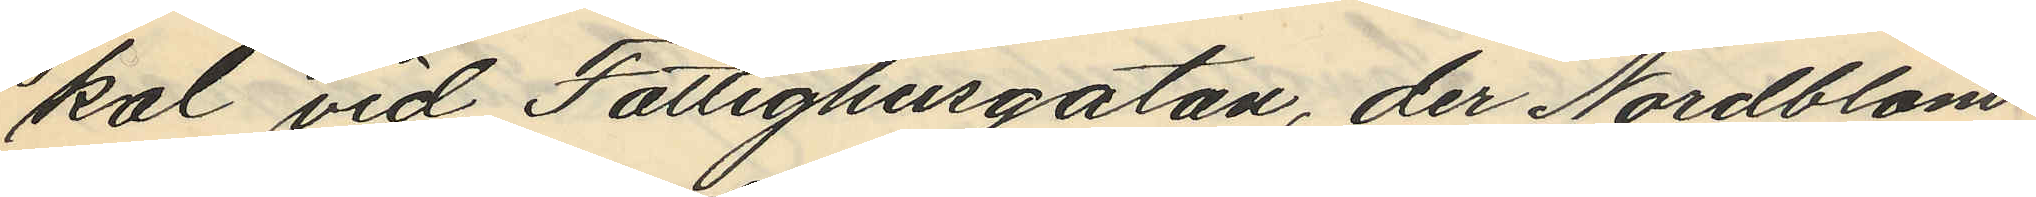kal vid Fattighusgatan, der Nordblom
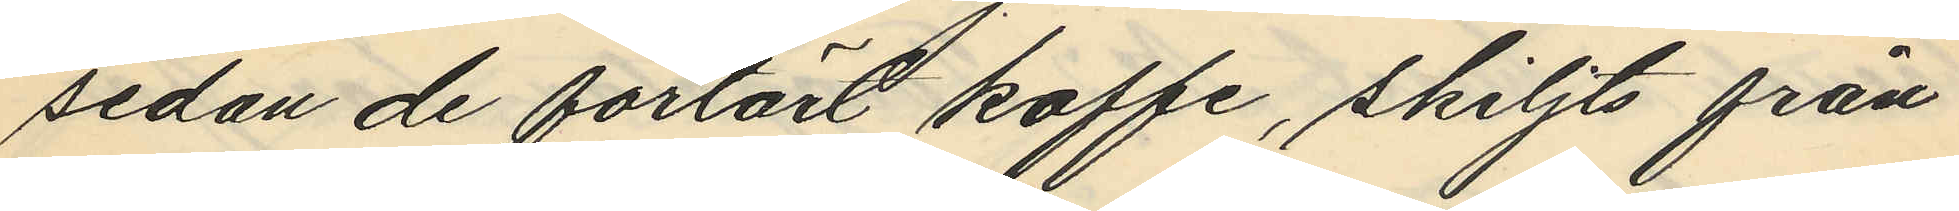sedan de förtärt kaffe, skiljts från
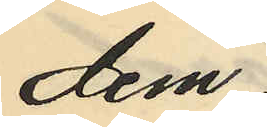dem;
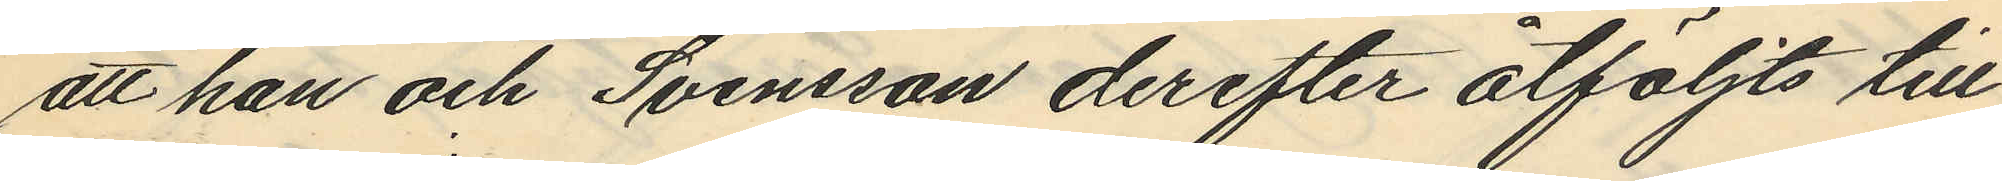att han och Svensson derefter åtföljts till
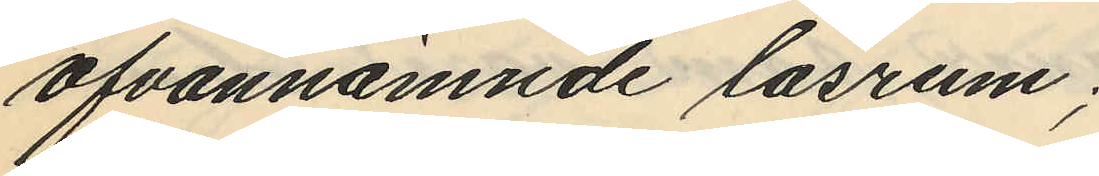ofvannämnde läsrum;
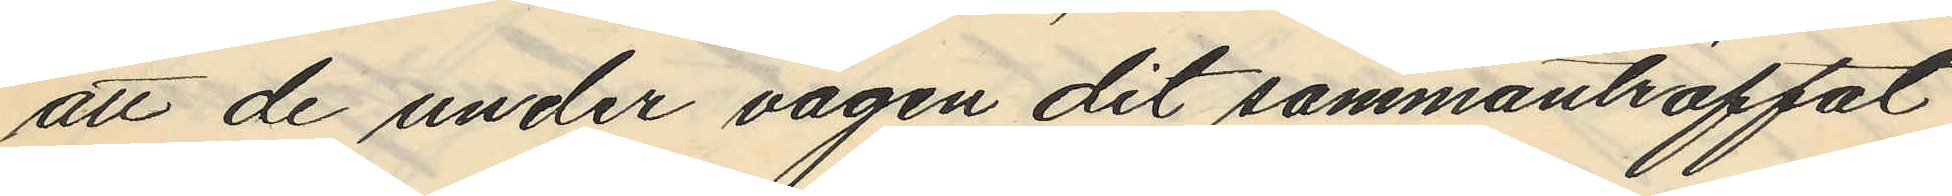att de under vägen dit sammanträffat
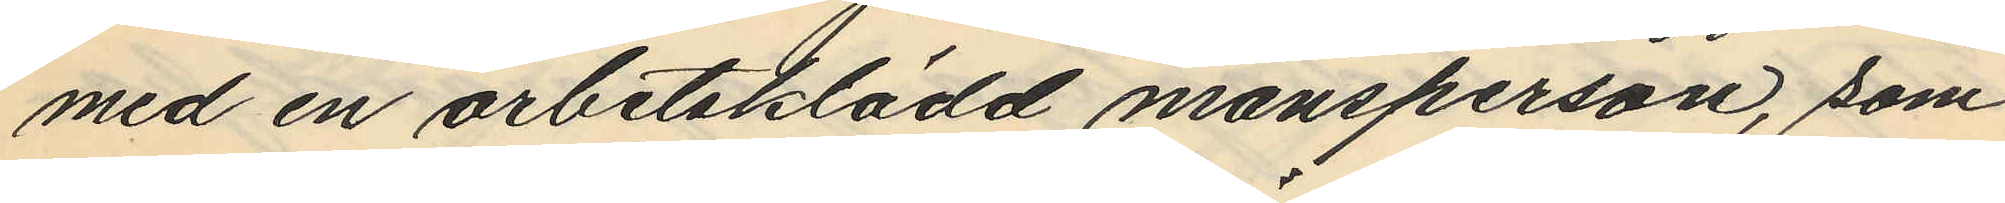med en arbetsklädd mansperson, som
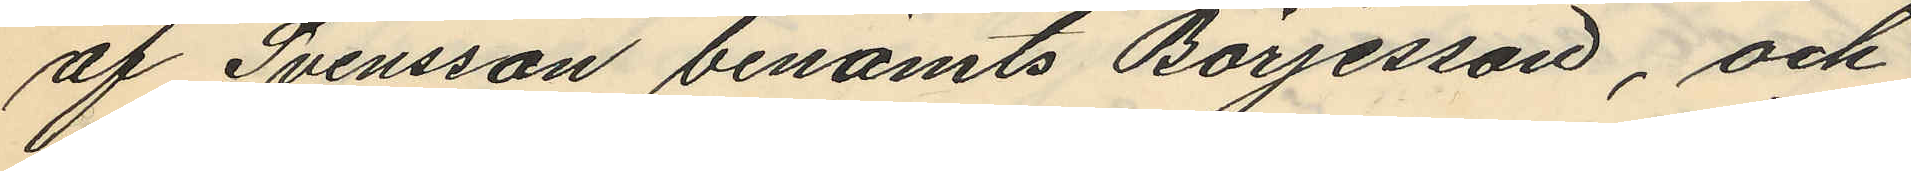af Svensson benämts Börjesson, och
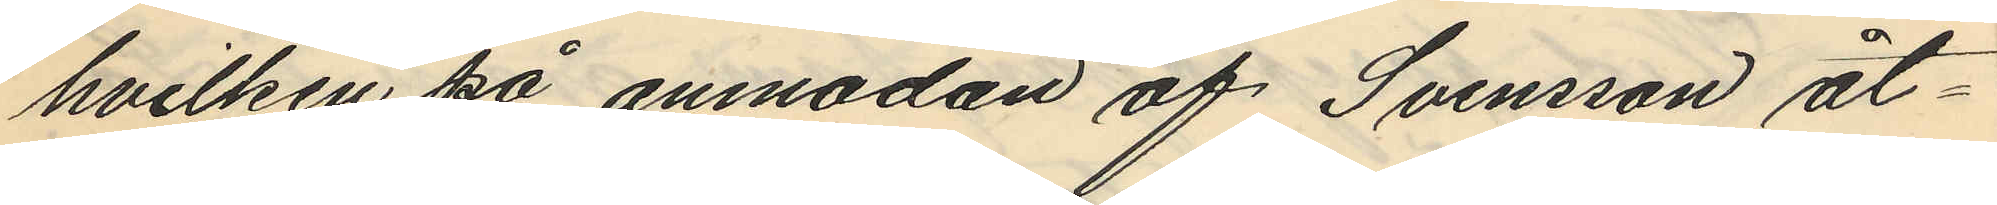hvilken på anmodan af Svensson åt¬
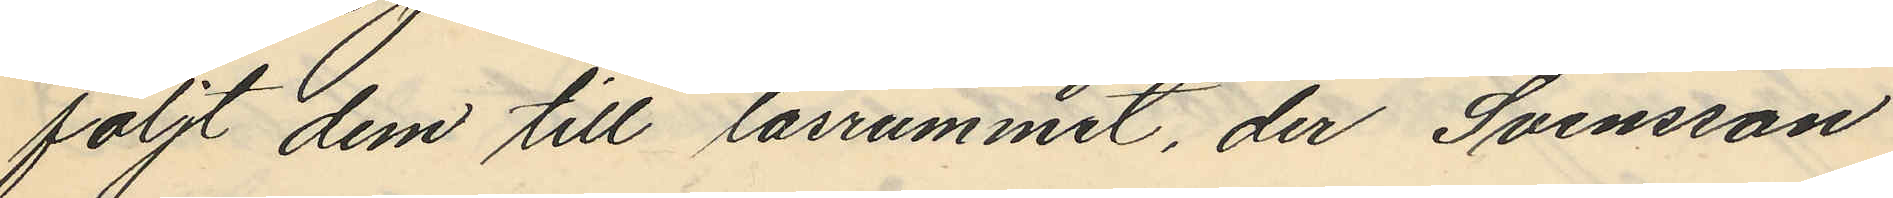följt dem till läsrummet, der Svensson
